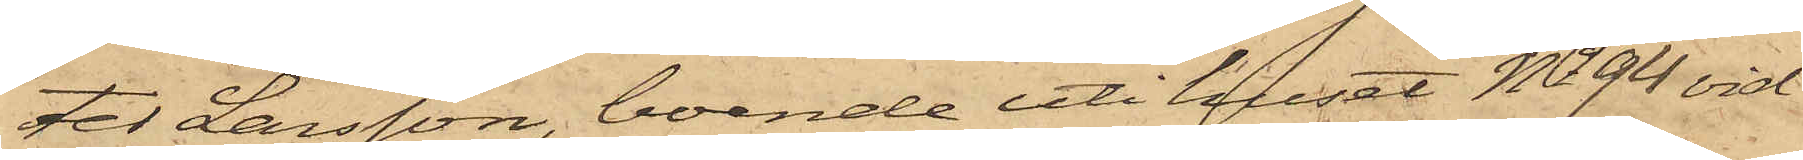ter Larsson, boende uti huset No 94 vid
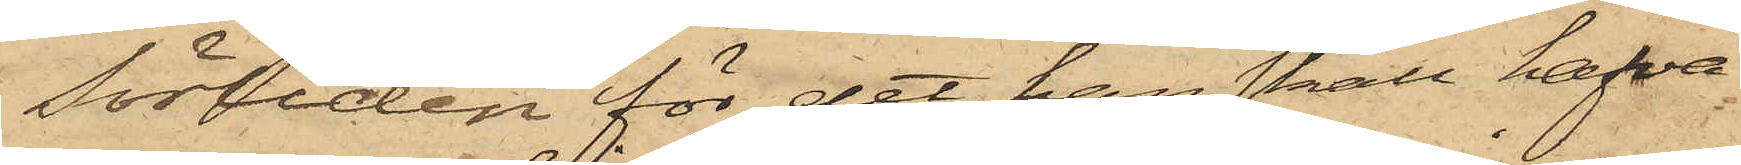Sörliden för det han skall hafva
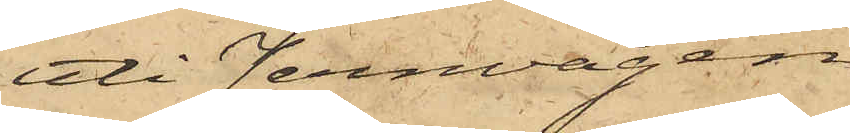uti Jernvågen
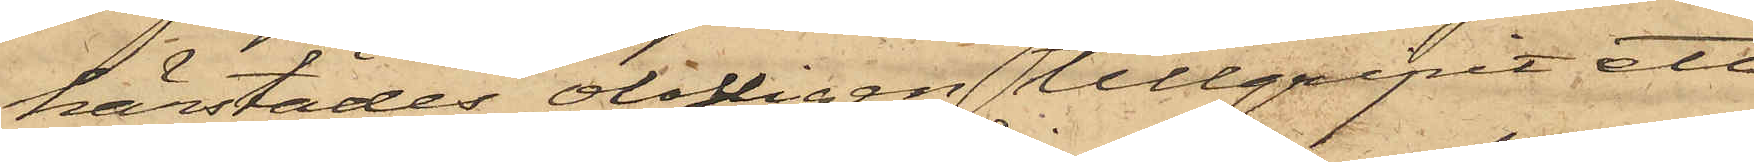härstädes olofligen tillgripit ett
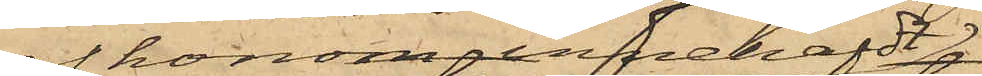 honom innehafdt
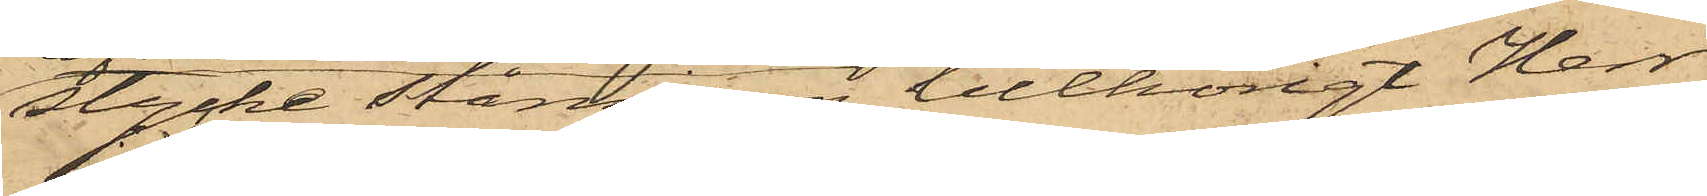stycke stångjern, tillhörigt Herr
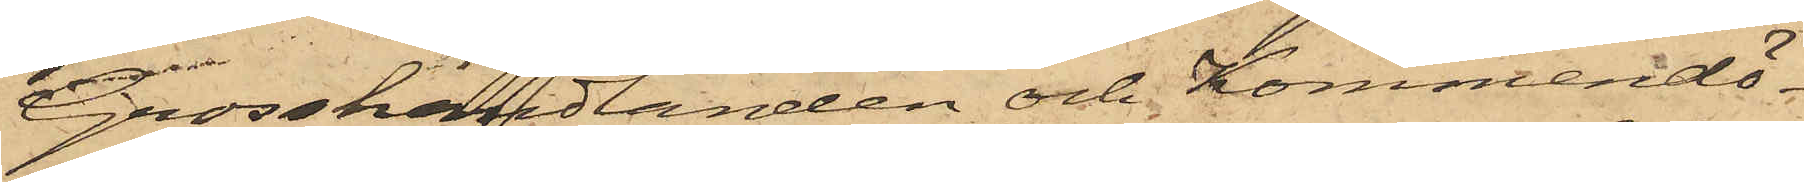Grosshandlanden och Kommendö¬
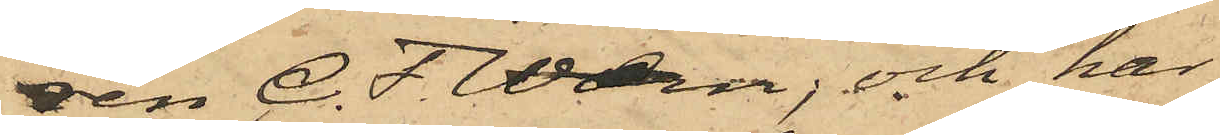den C. F. Wærn; och har
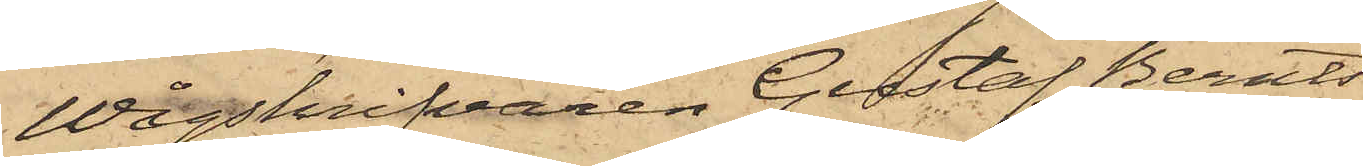Wågskrifvaren Gustaf Bernts¬
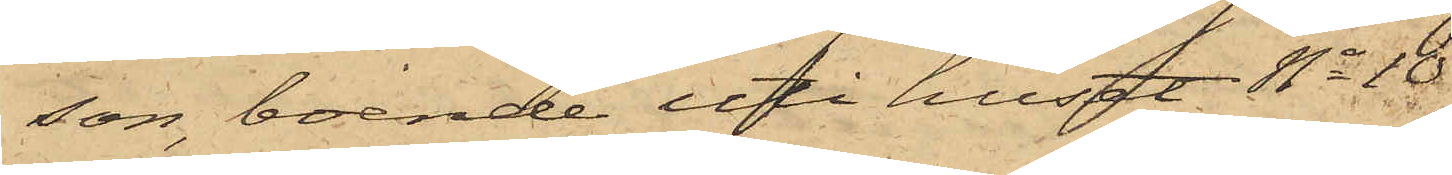son, boende uti huset No 10
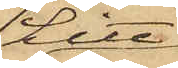Litt
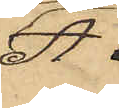A
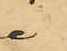i
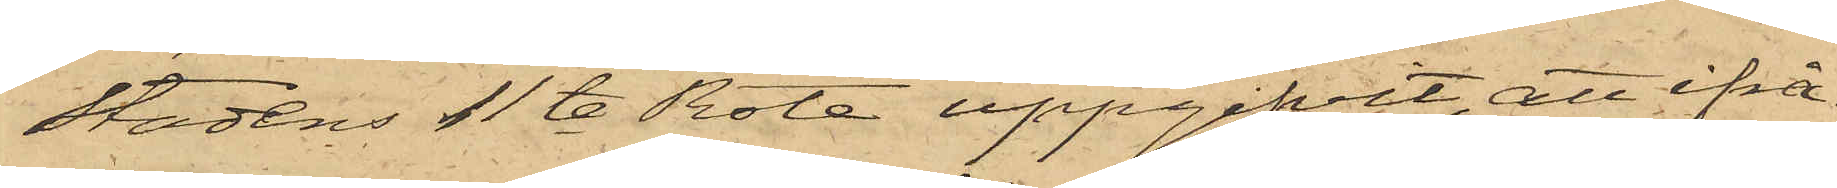stadens 11te Rote uppgifvit, att ifrå¬
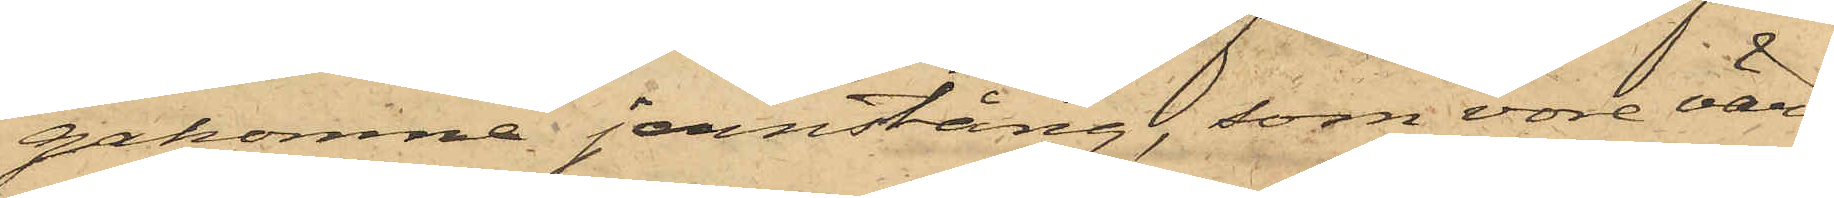gakomne jernstång, som vore värd
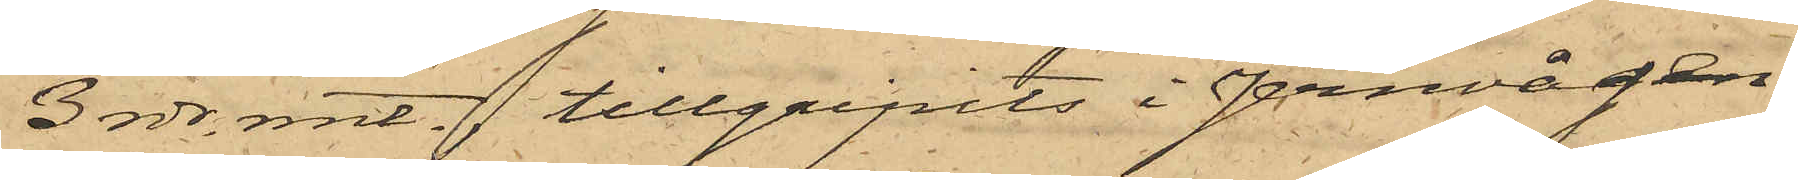3 rdr. rmt. tillgripits i Jernvågen,
